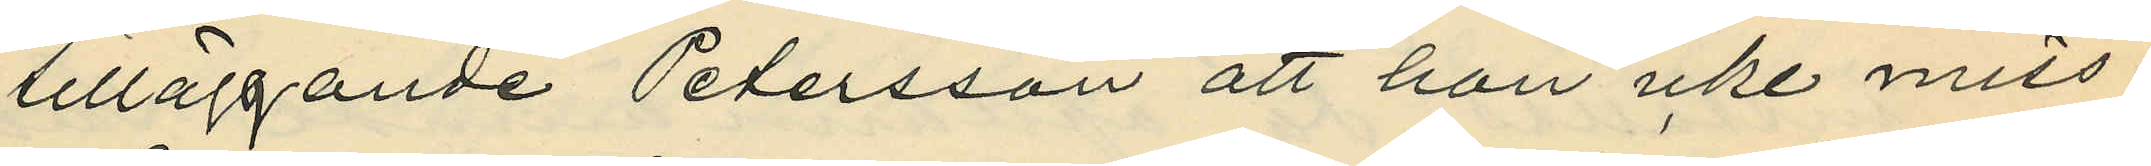tilläggande Petersson att hon icke miss¬
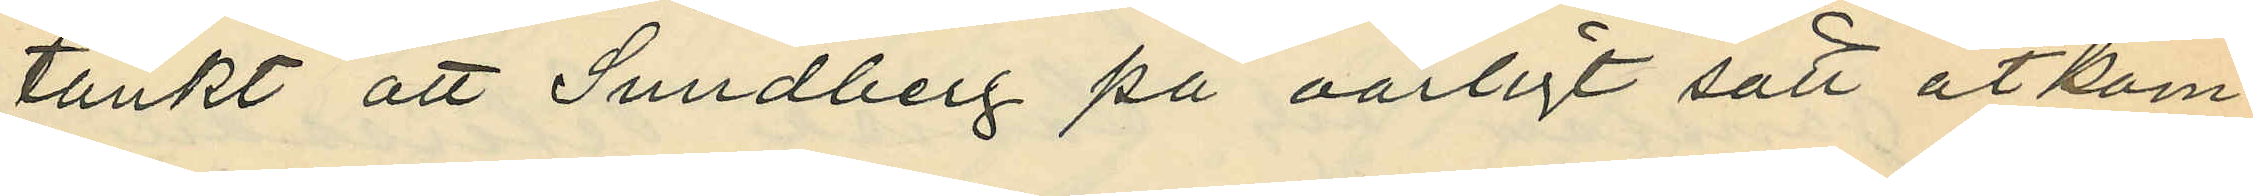tänkt att Sundberg på oärligt sätt åtkom¬
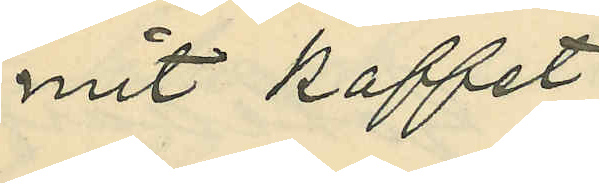mit kaffet.
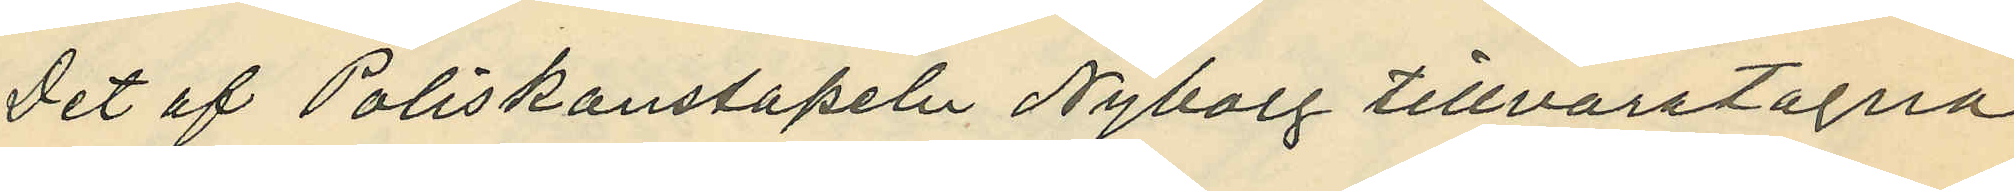Det af Poliskonstapeln Nyborg tillvaratagna
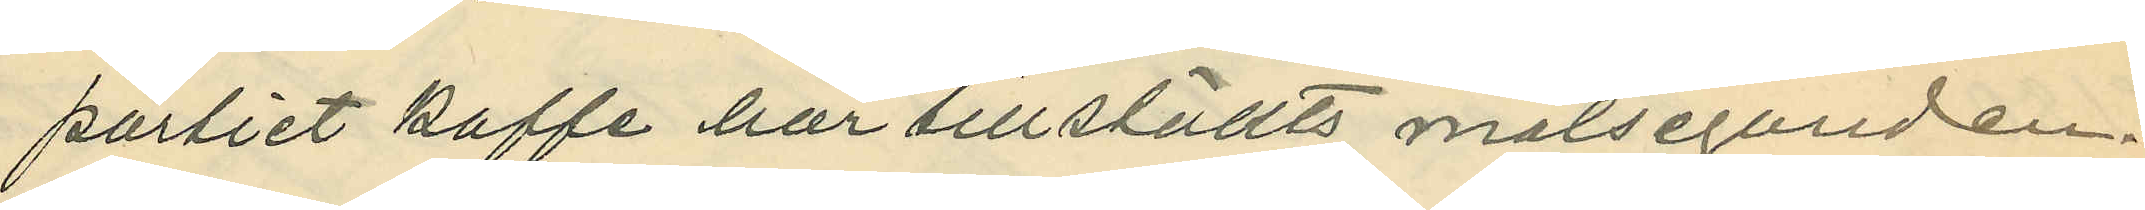partiet kaffe har tillställts målseganden.
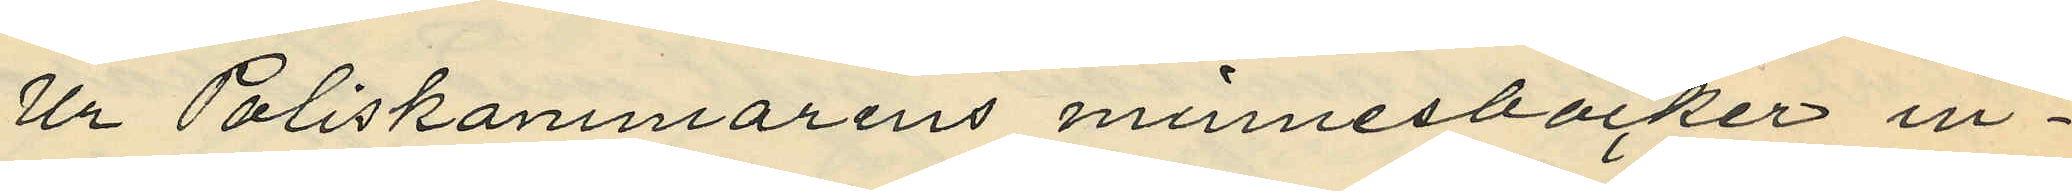Ur Poliskammarens minnesböcker in¬
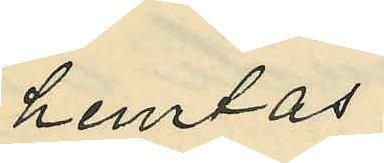hemtas:
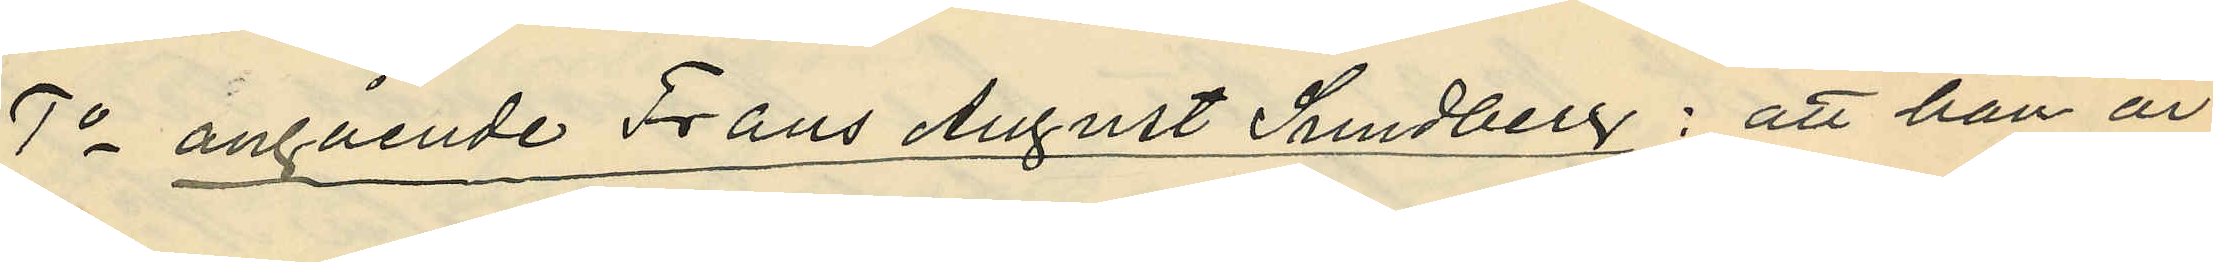1o angående Frans August Sundberg: att han är
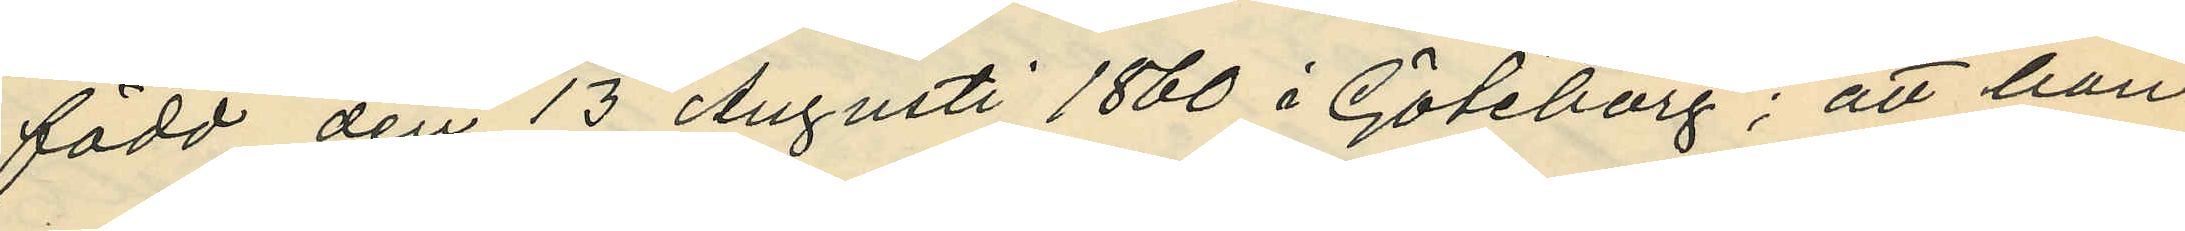född den 13 Augusti 1860 i Göteborg; att han
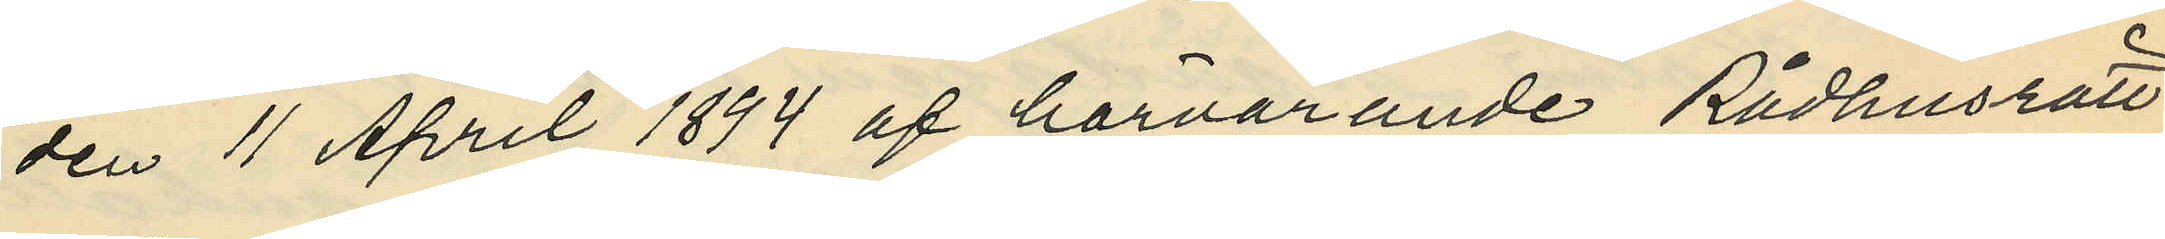den 11 April 1894 af härvarande Rådhusrätt
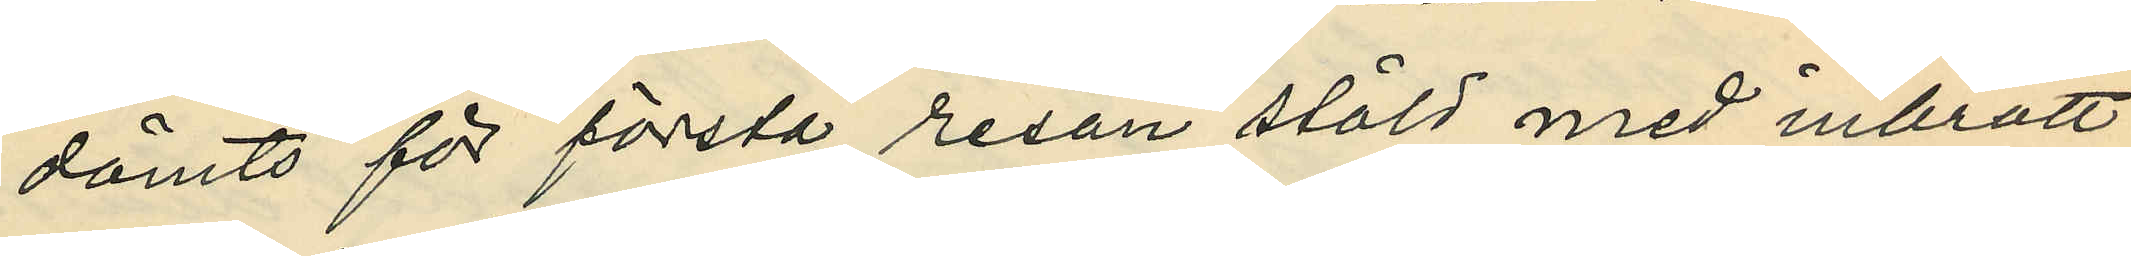dömts för första resan stöld med inbrott
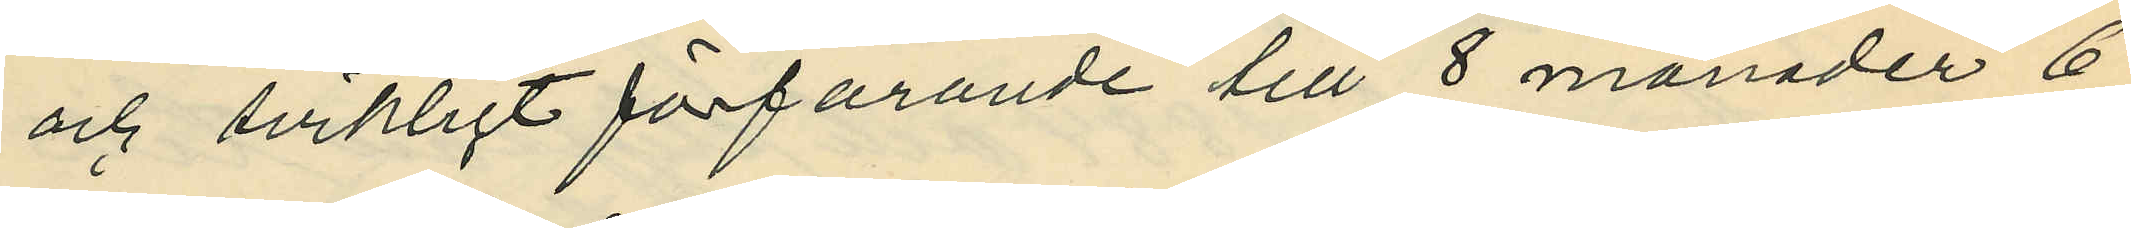och svikligt förfarande till 8 månader 6
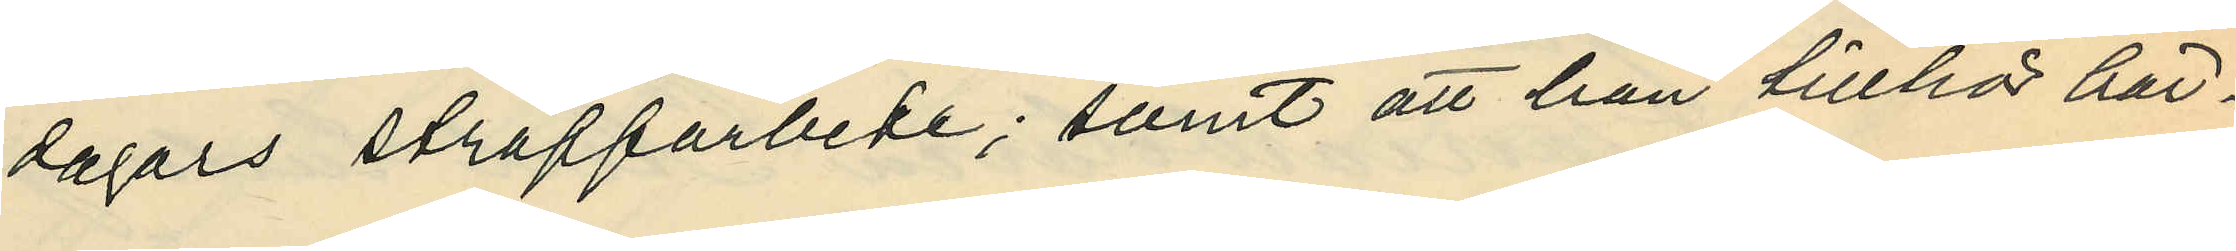dagars straffarbete; samt att han tillhör här¬
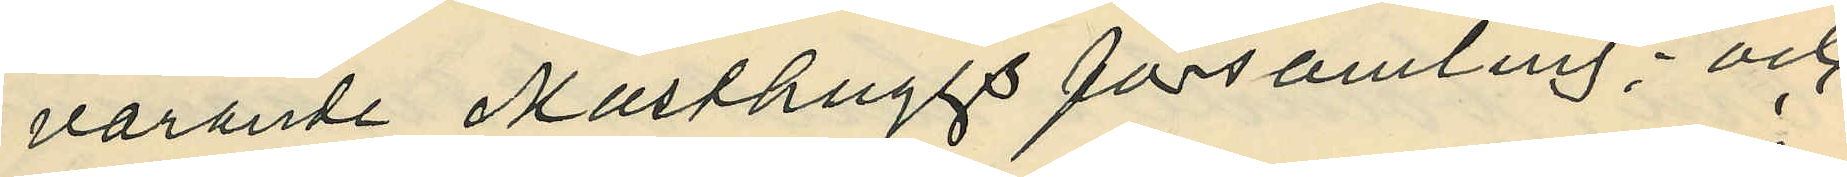varande Masthuggs församling; och
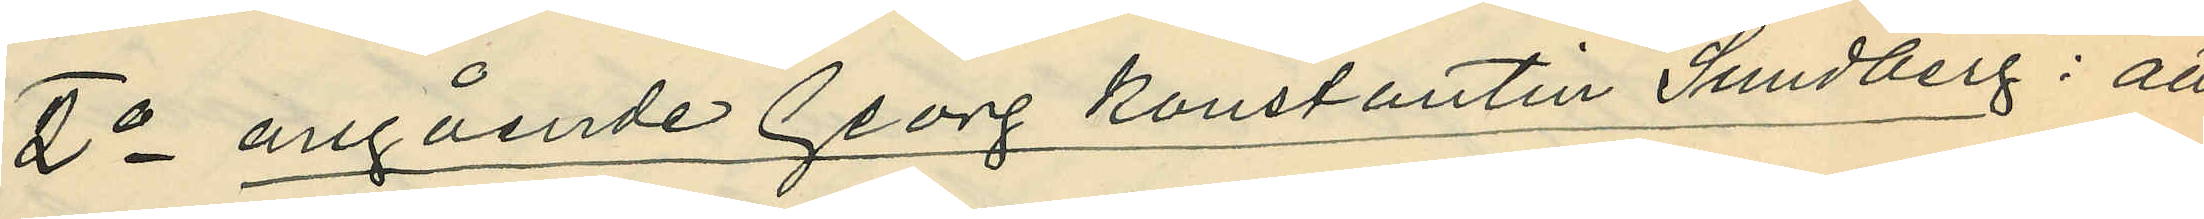2o angående Georg Konstantin Sundberg: att
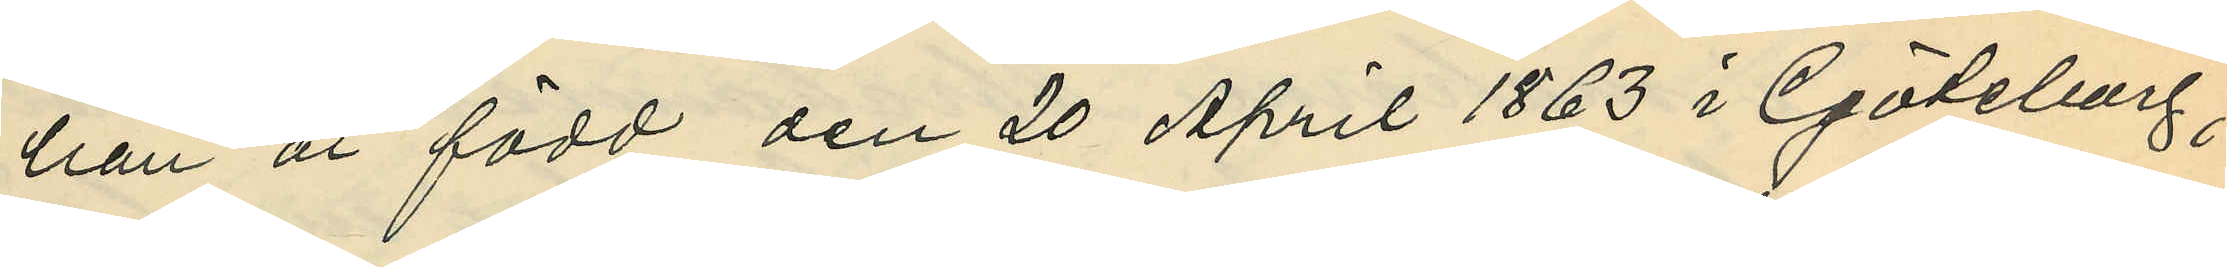han är född den 20 April 1863 i Göteborg;
